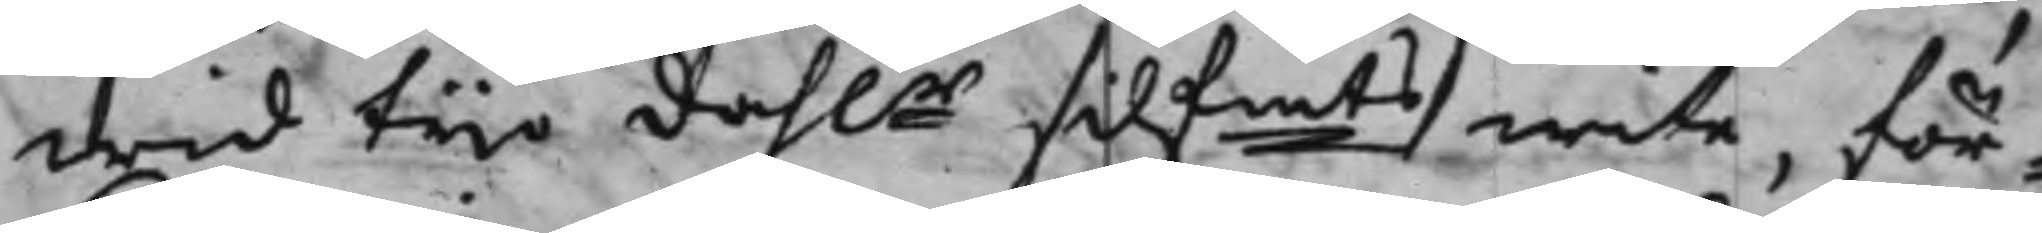wid tijo dahlr Silfmts wite, för¬
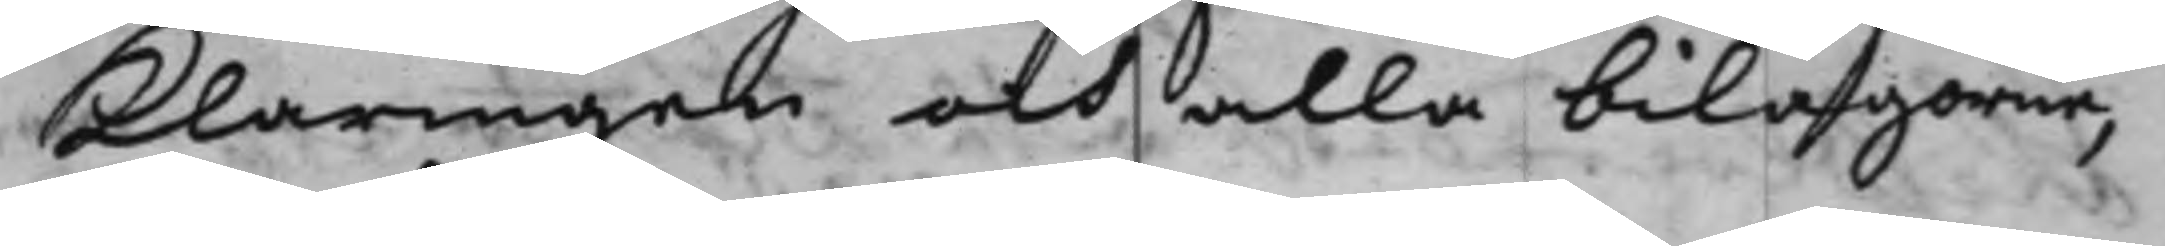Klaringen och alla bilagorne,
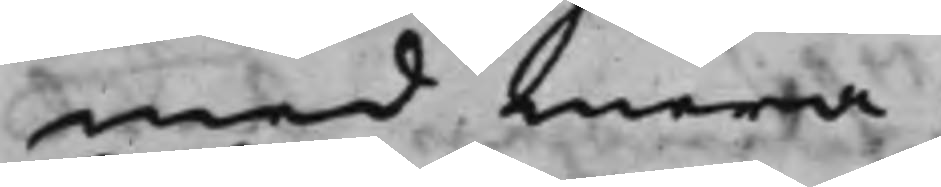med mera.
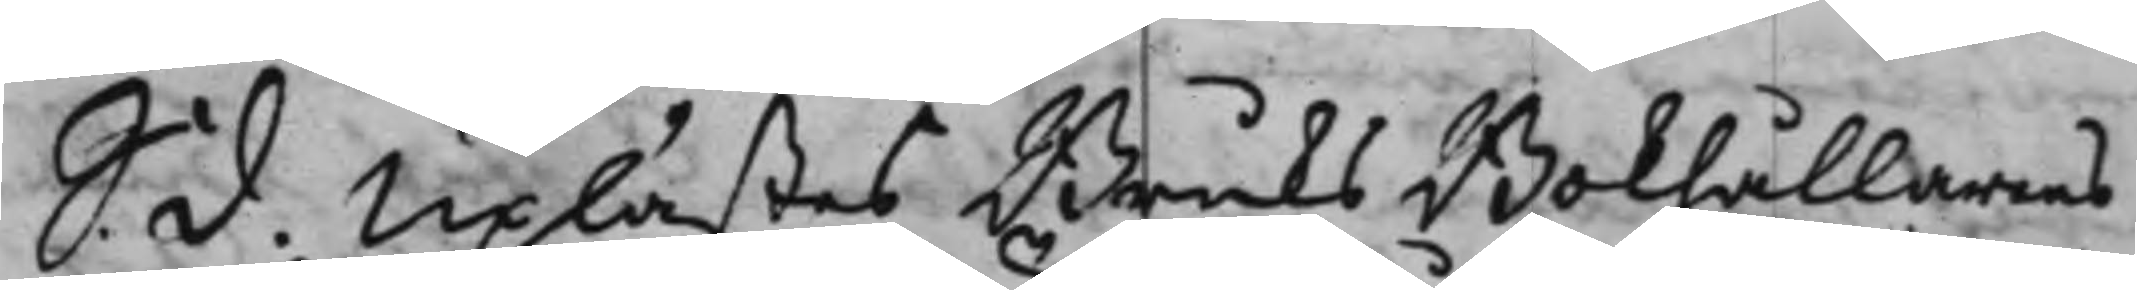S. d. Uplästes Bruks Bokhållarens
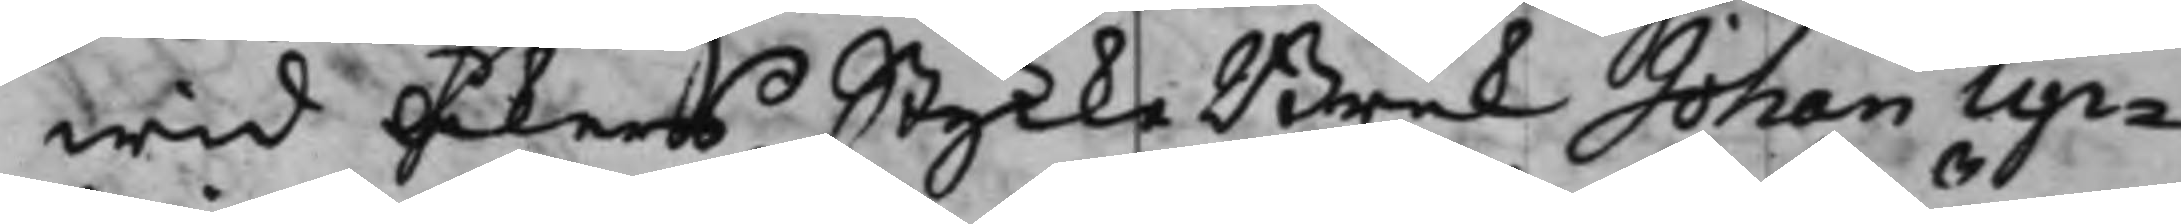wid Åkers Stycke Bruk Johan Up¬
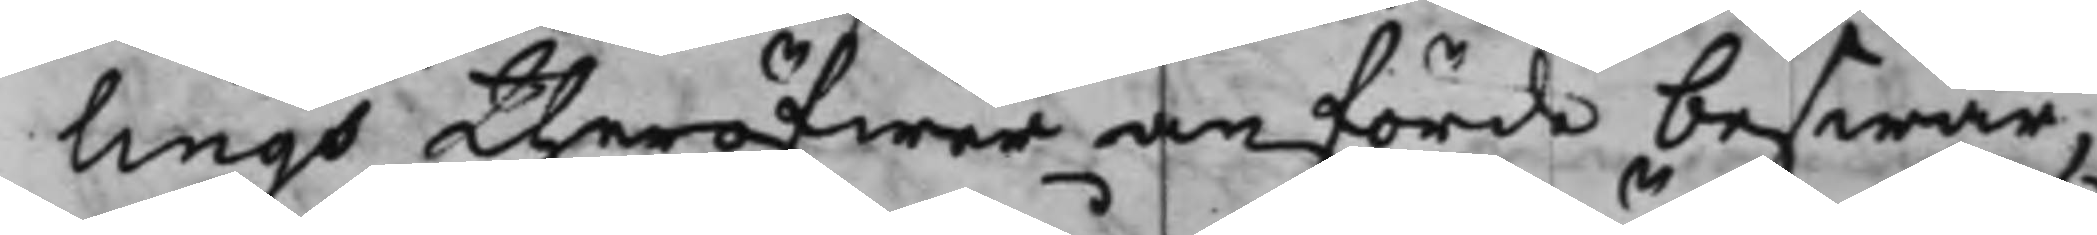lings theröfwer anförde beswär,
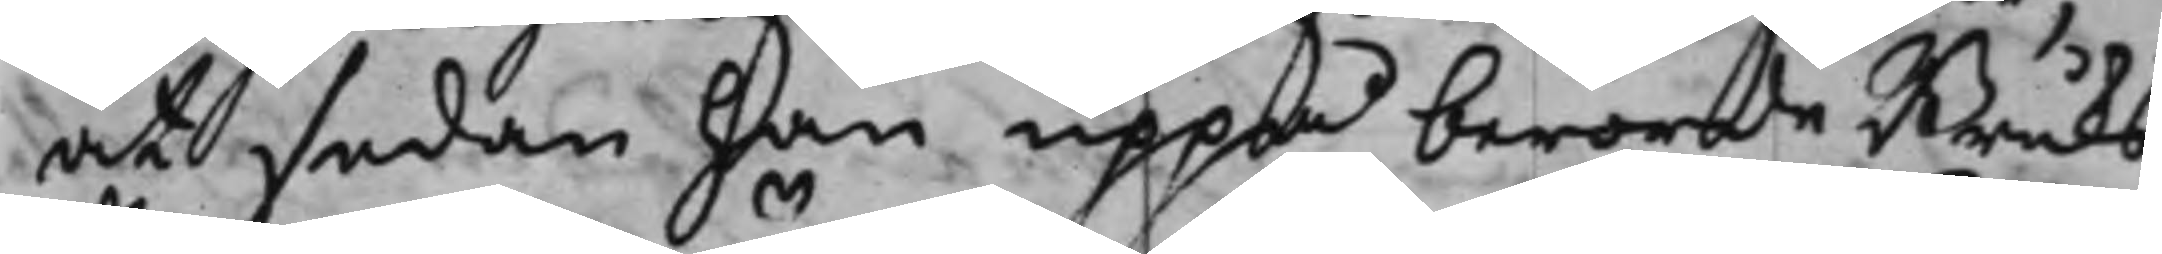at sedan han uppå berörde Bruks
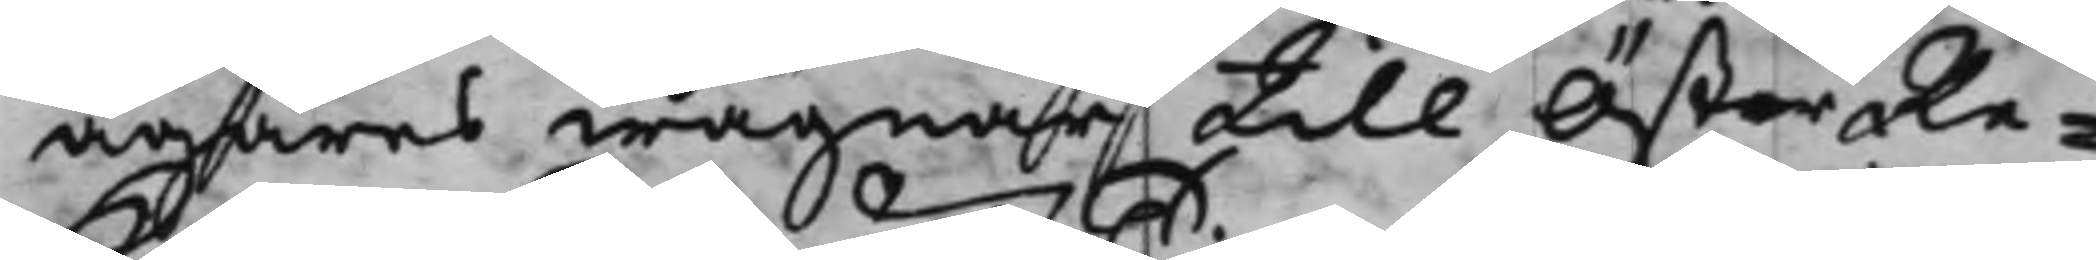ägares wägnar till ÖsterRe¬
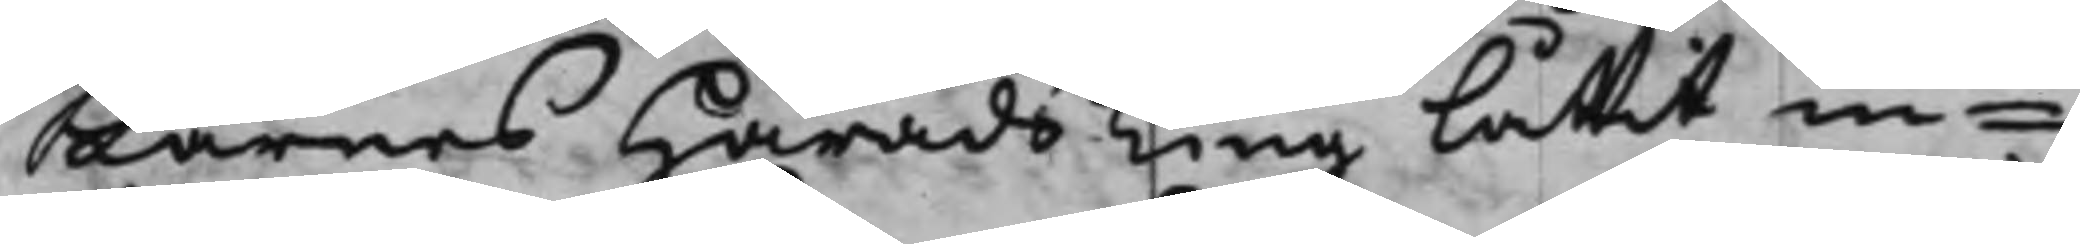Karnes HäradsTing låtit in¬
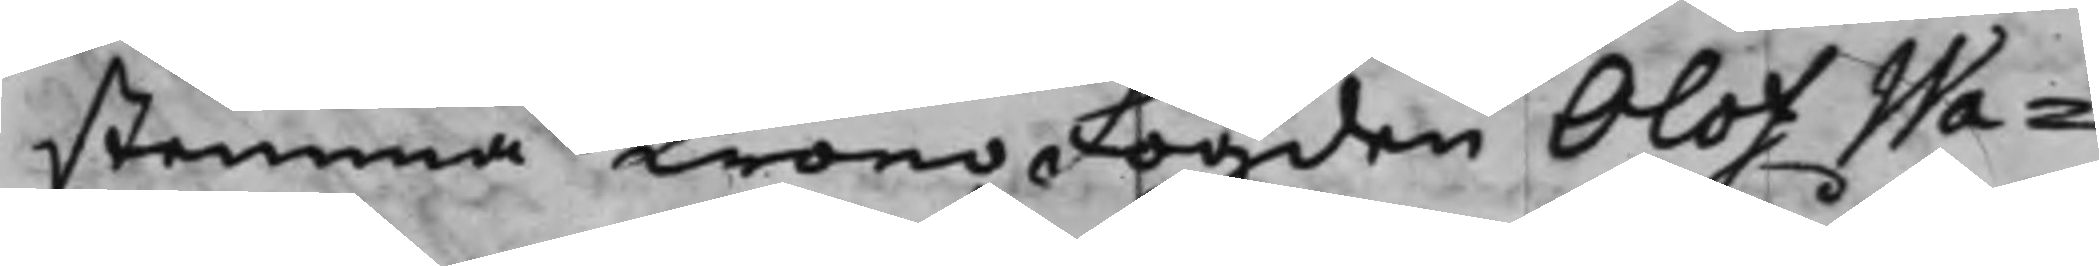stemma KronoFogden Olof Wa¬
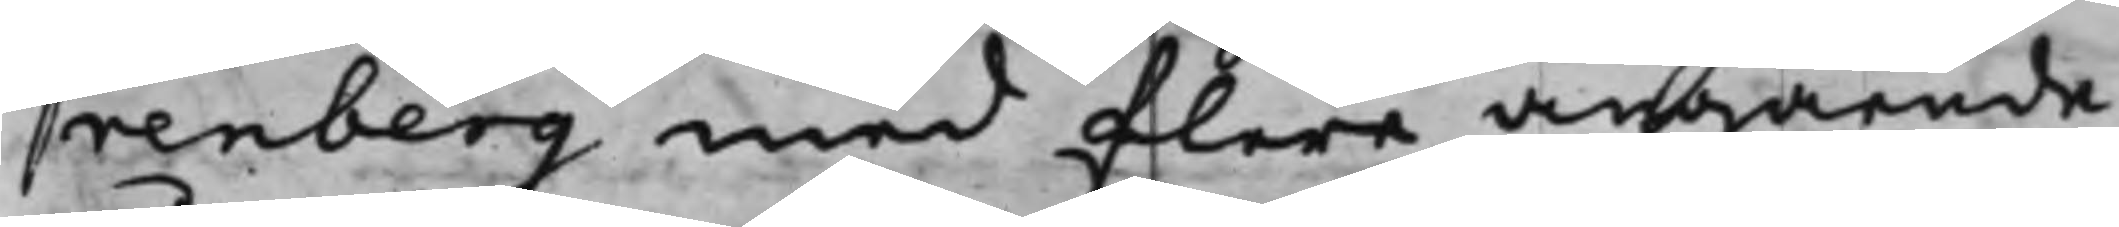renberg med flere angående
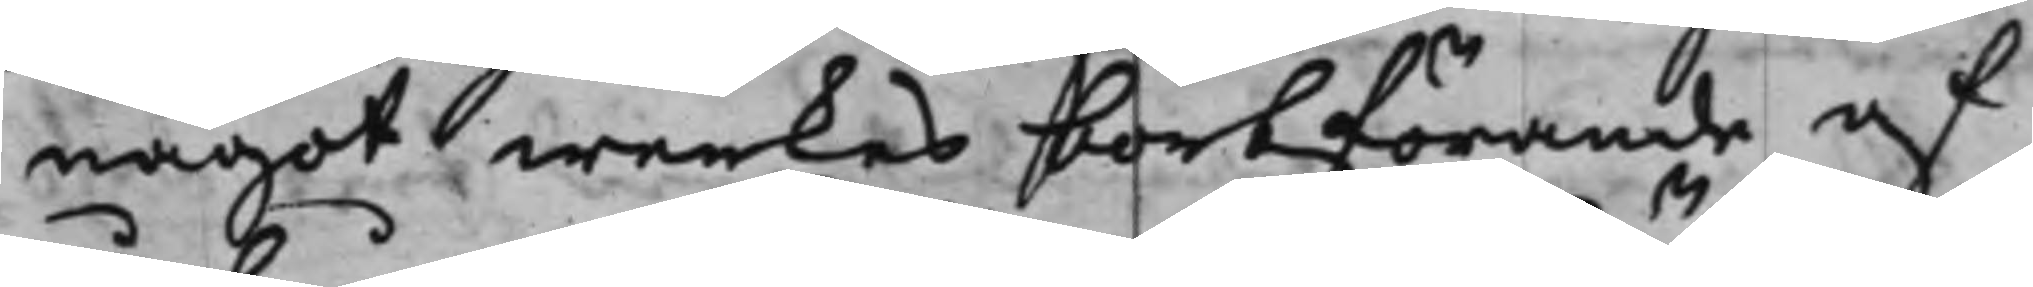något werkes bortförande af
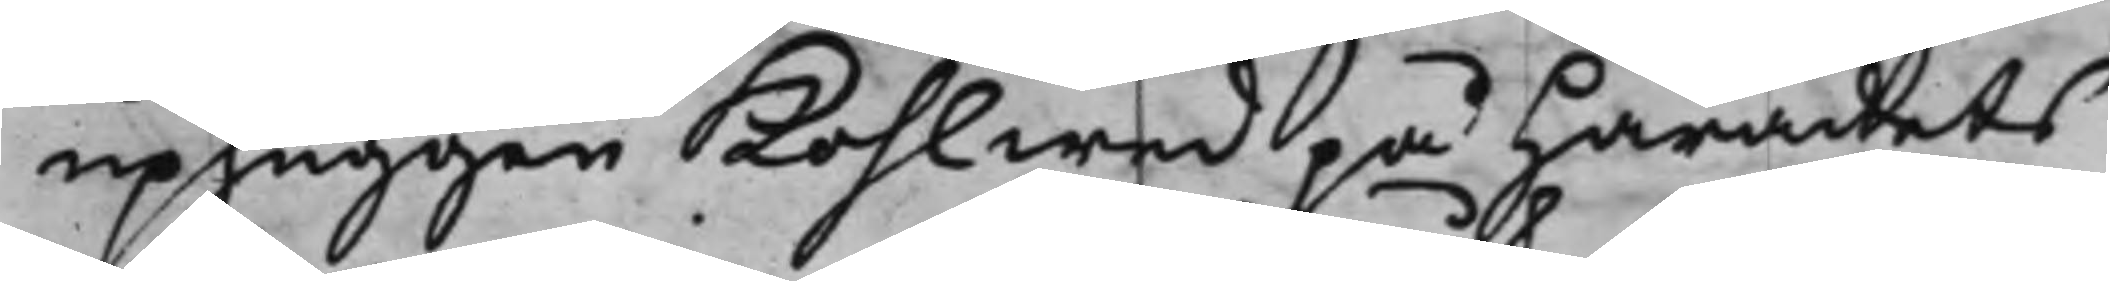uphuggen Kohlwed på Härandets
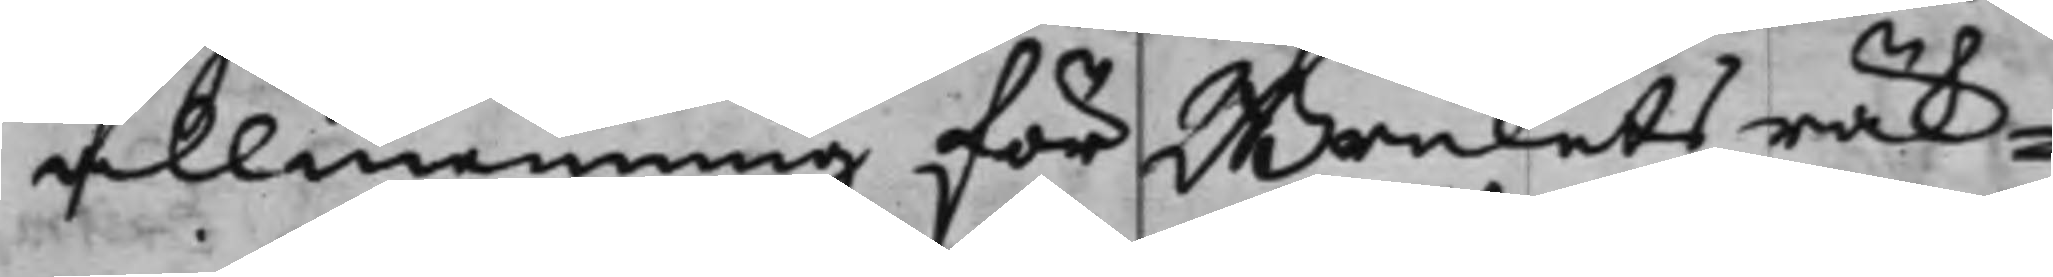allmenning för Brukets räk¬
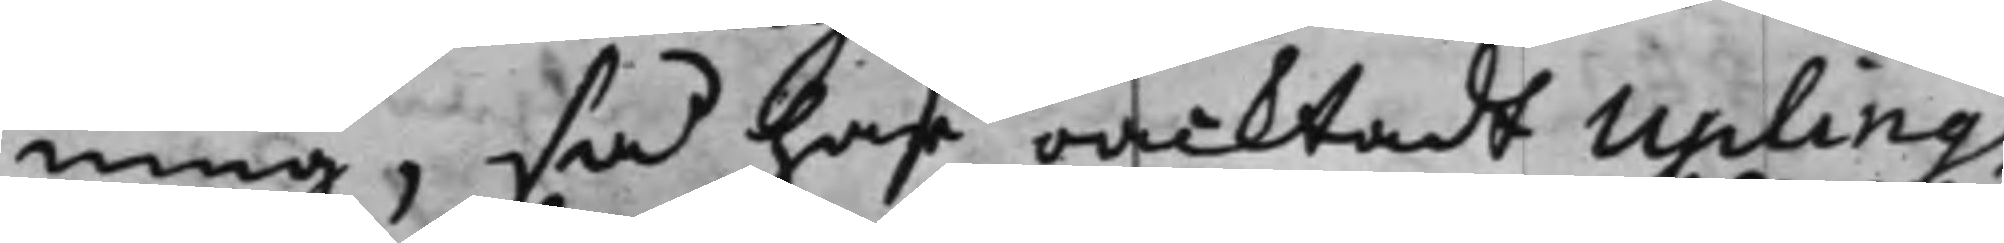ning, så har oacktadt Upling
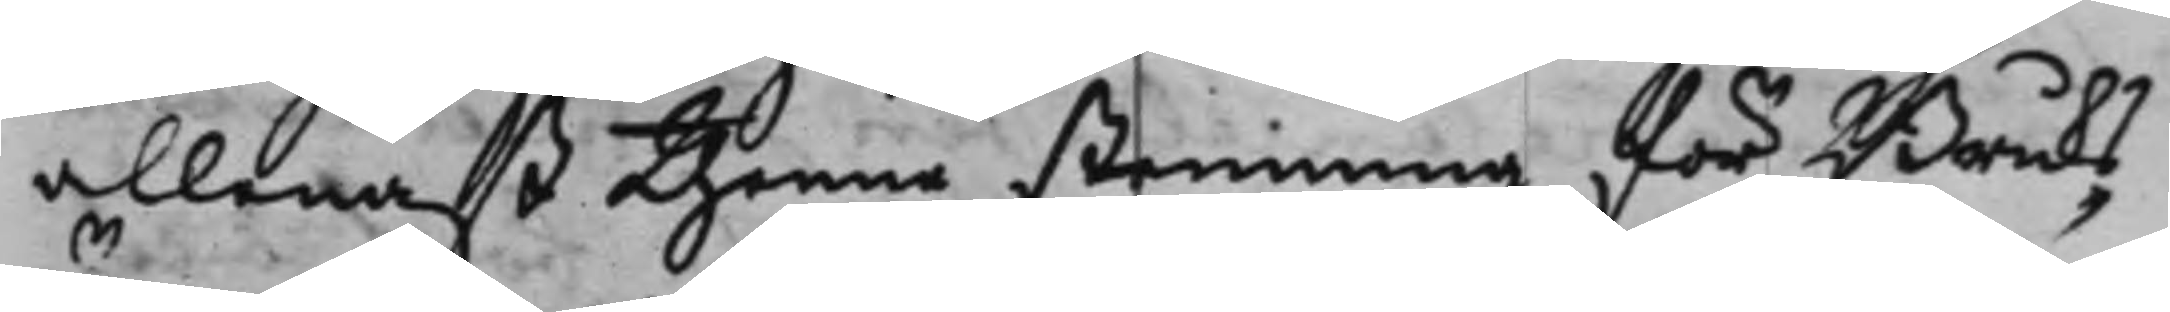allenast thenne stemning för Bruks¬
